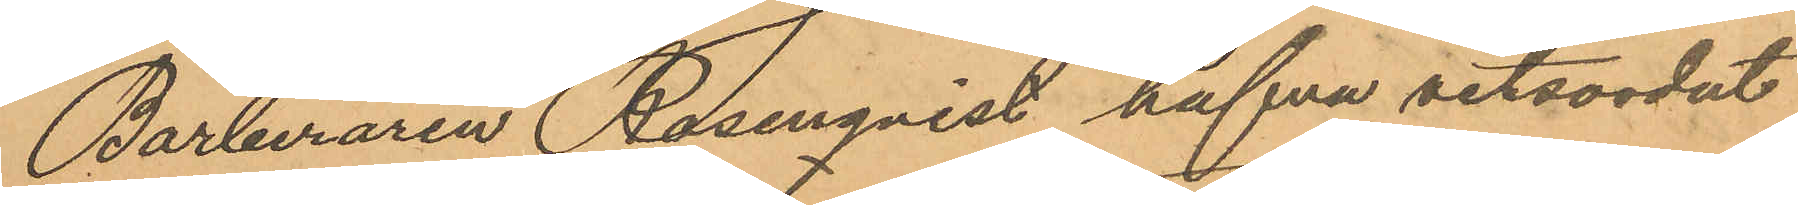Barberaren Rosenqvist hafva vitsordat
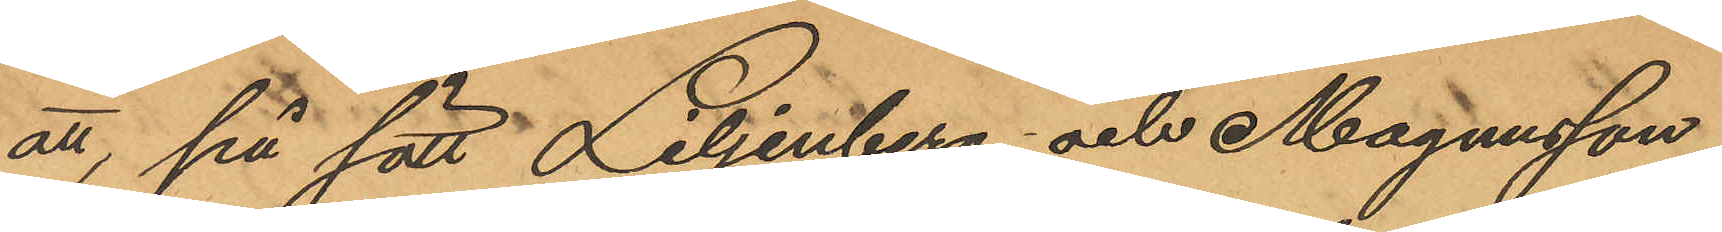att, på sätt Liljenberg och Magnusson
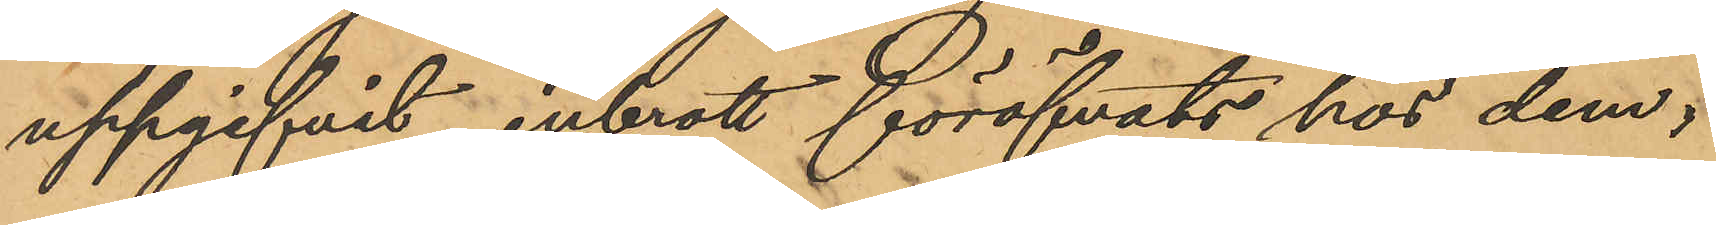uppgifvit, inbrott föröfvats hos dem,
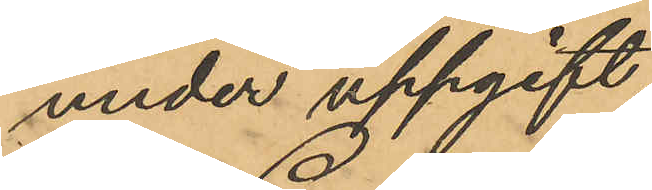under uppgift,
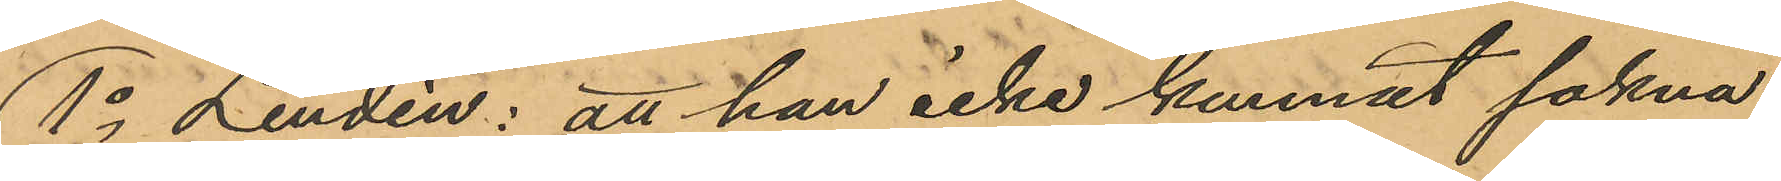1o Lindén: att han icke kunnat sakna
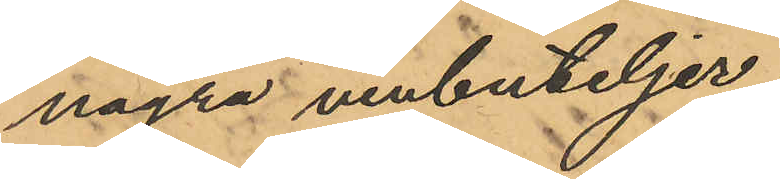några vinbuteljer;
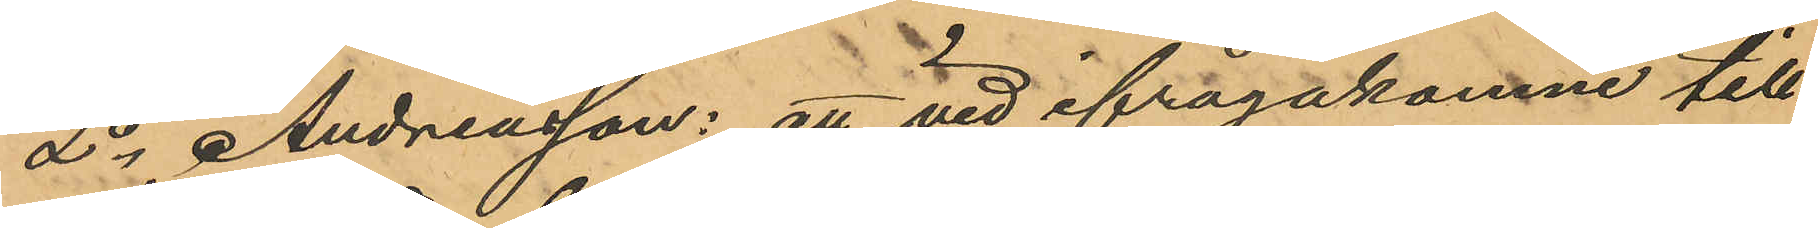2o Andreasson: att vid ifrågakomne till¬
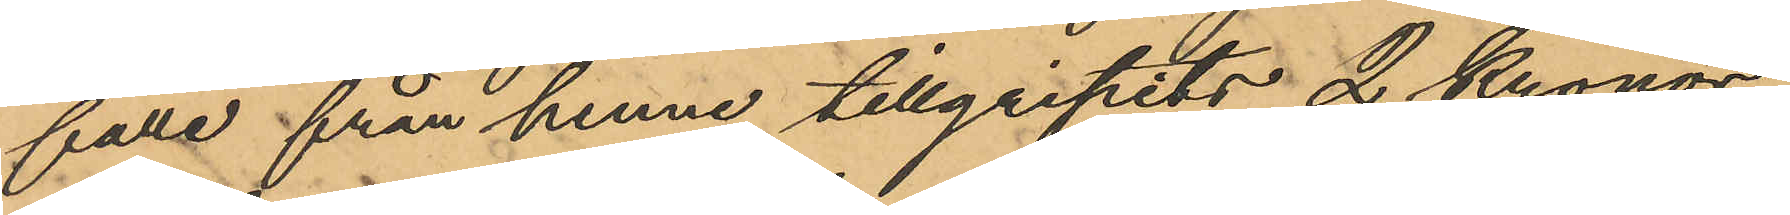fälle från henne tillgripits 2 Kronor
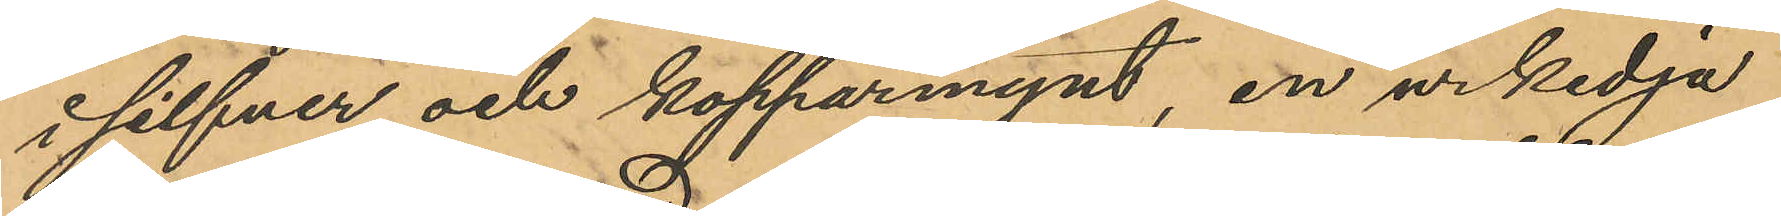i silfver och kopparmynt, en urkedja
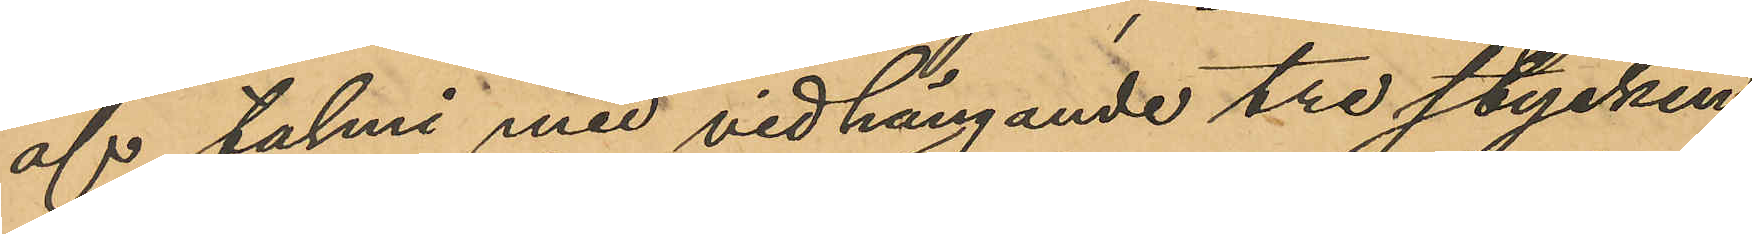af talmi med vidhängande tre stycken
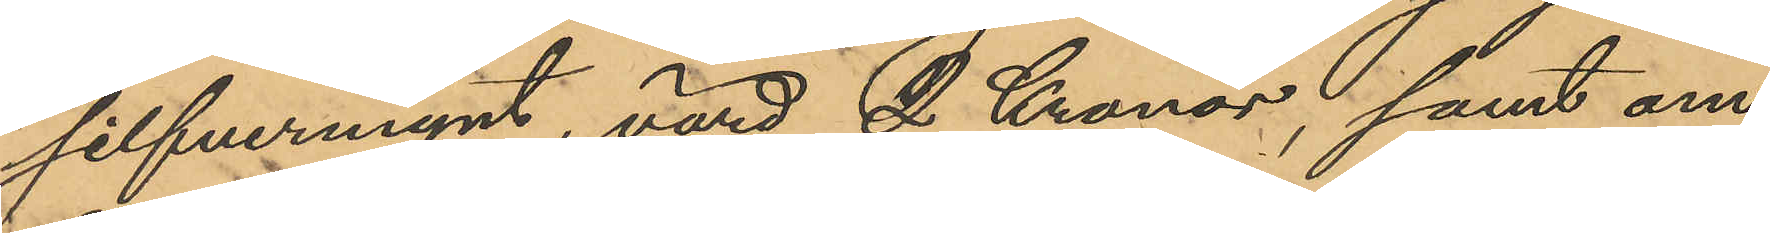silfvermynt, värd 2 Kronor; samt om¬
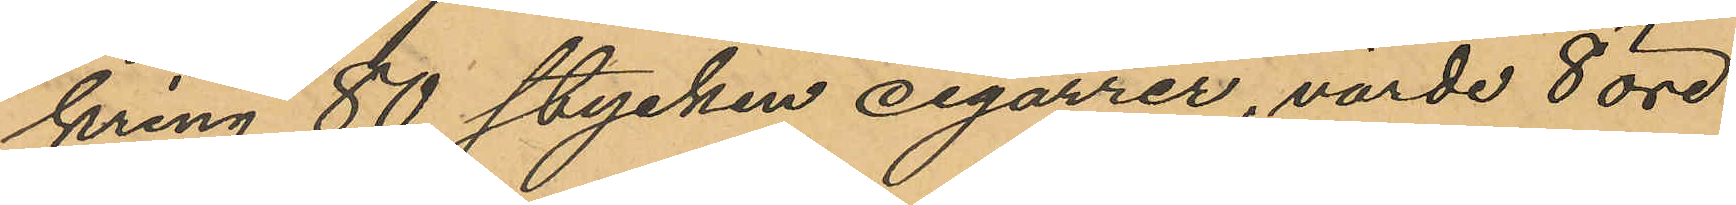kring 80 stycken cigarrer, värde 8 öre
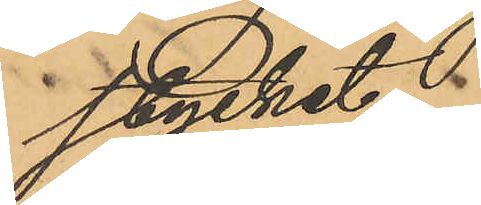stycket;
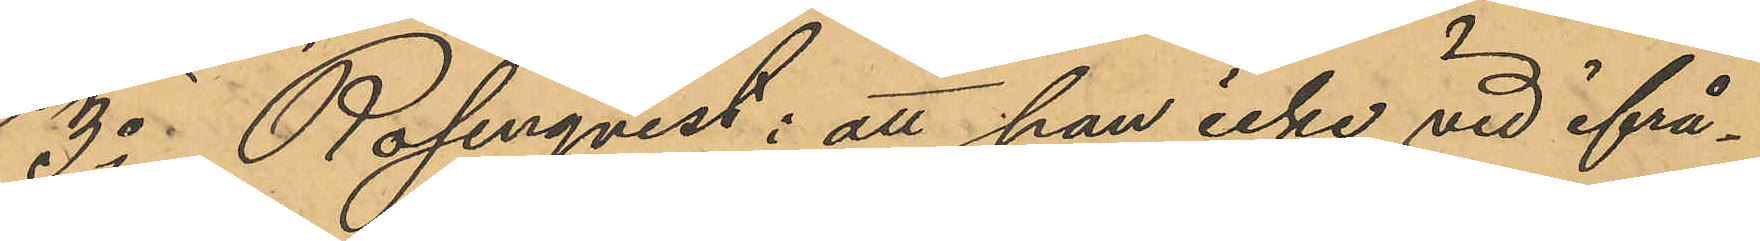3o Rosenqvist: att han icke vid ifrå¬
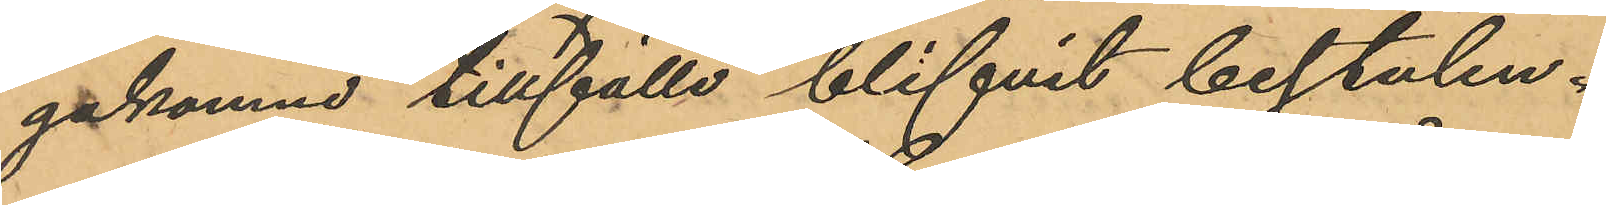gakomne tillfälle blifvit bestulen.
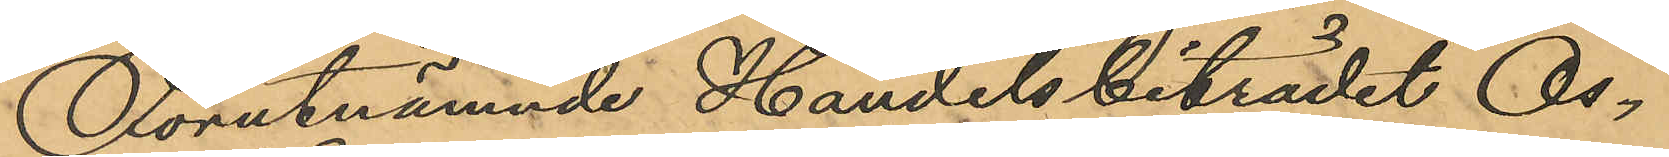Förutnämnde Handelsbiträdet Os¬
